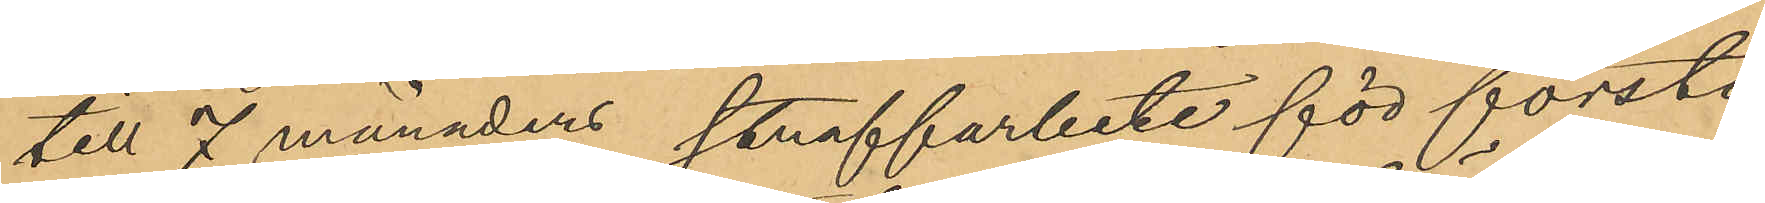till 7 månaders straffarbete för första
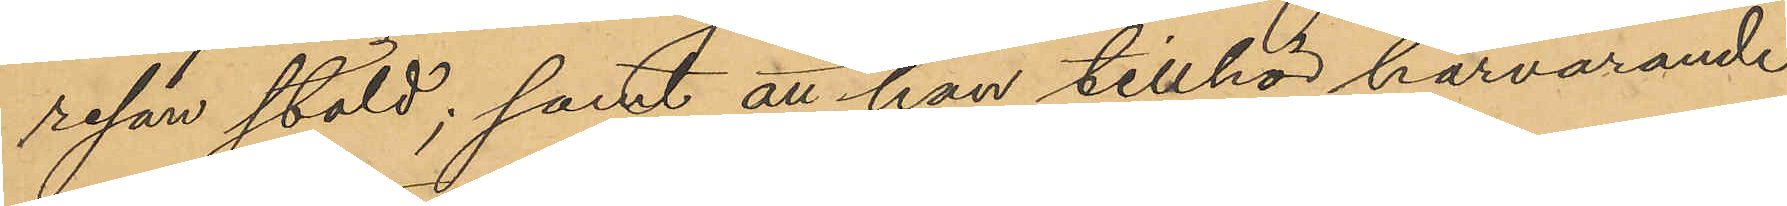resan stöld; samt att han tillhör härvarande
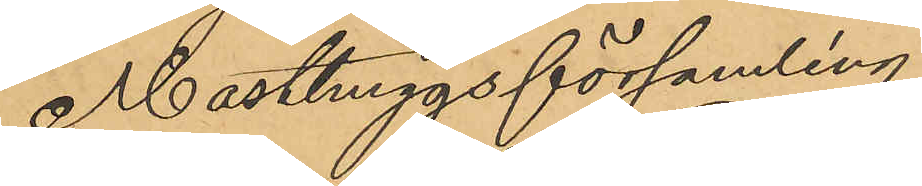Masthuggsförsamling;
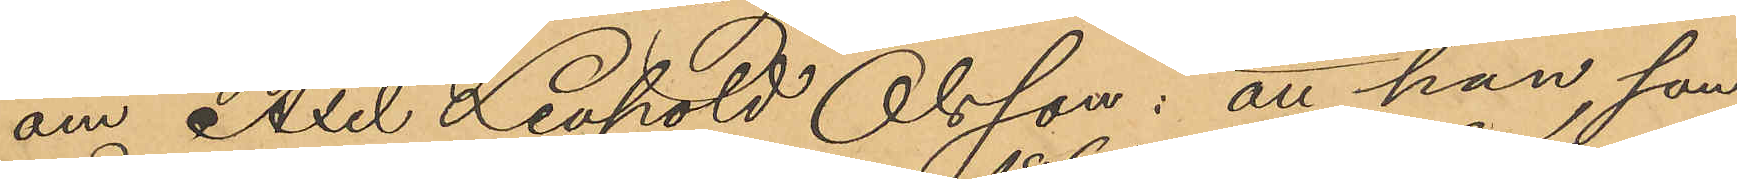om Axel Leopold Olsson: att han, som
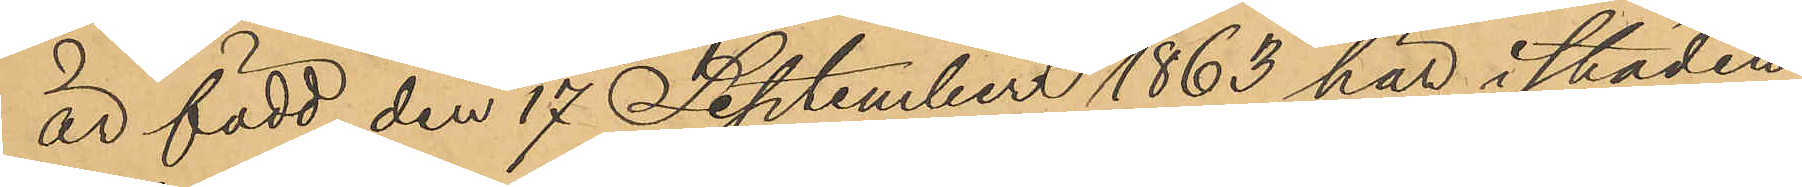är född den 17 September 1863 här i staden
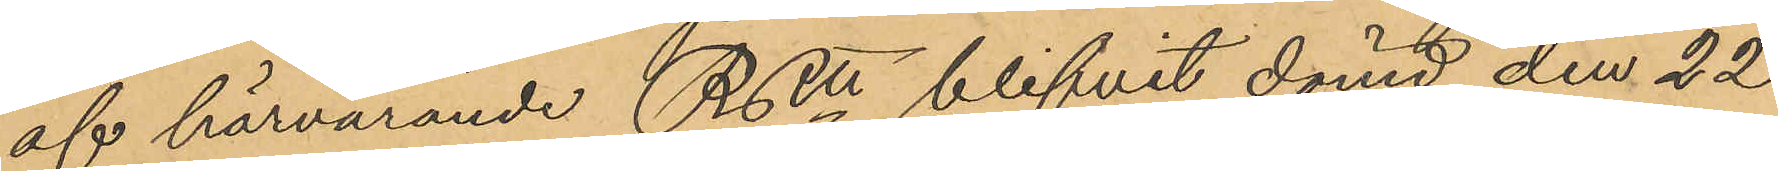af härvarande RRtt blifvit dömd den 22
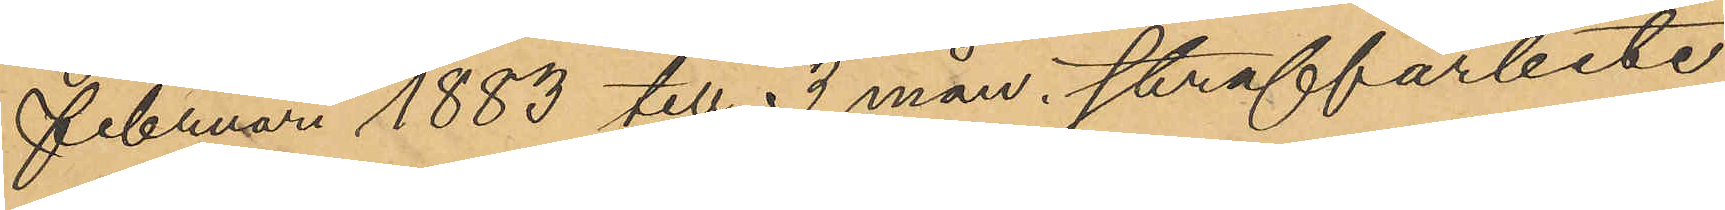Februari 1883 till 3 mån. straffarbete
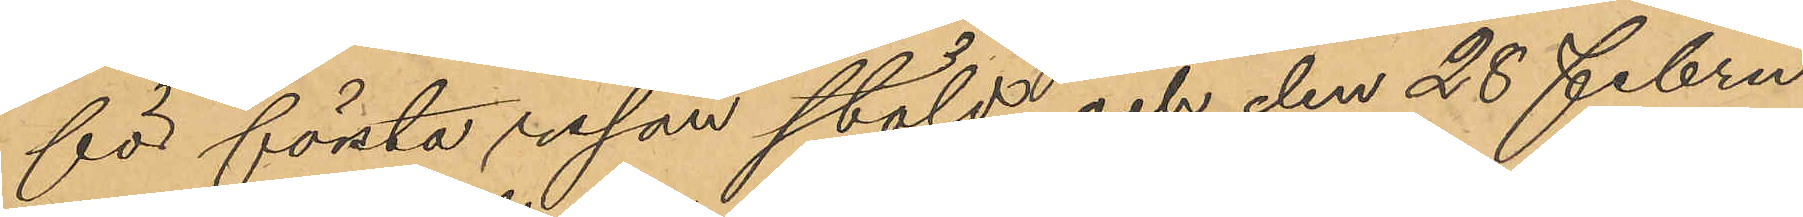för första resan stöld och den 28 Febru¬
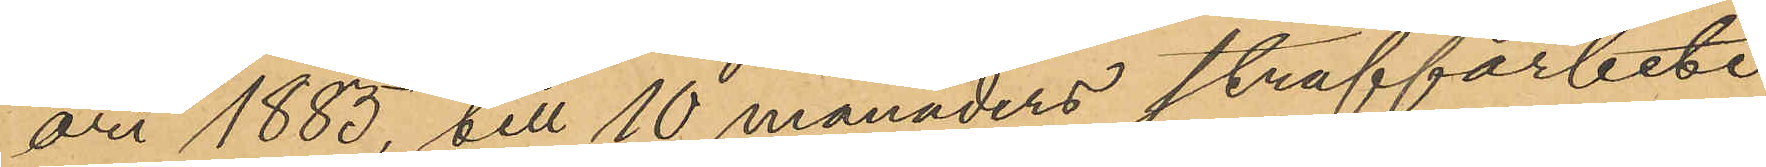ari 1885, till 10 månaders straffarbete
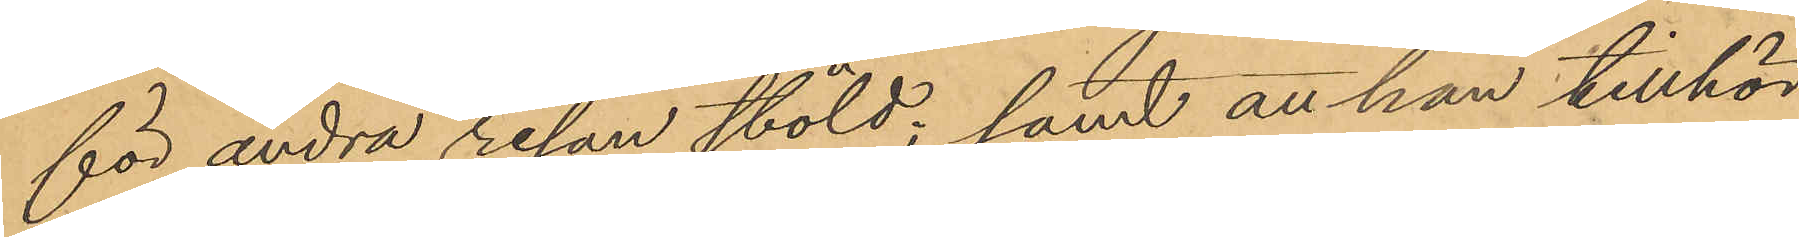för andra resan stöld; samt att han tillhör
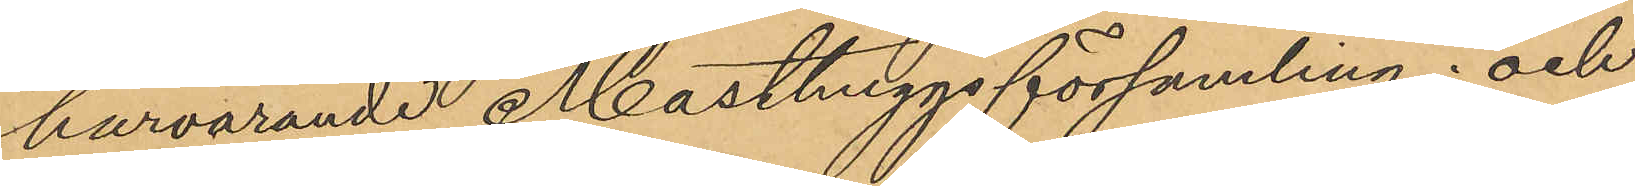härvarande Masthuggsförsamling; och
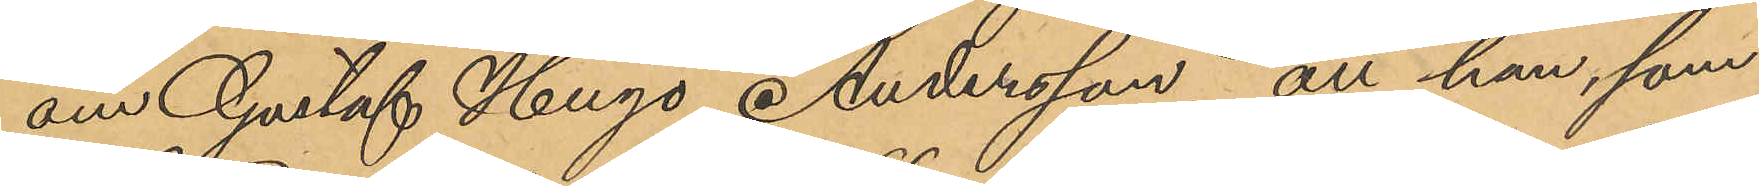om Gustaf Hugo Andersson, att han, som
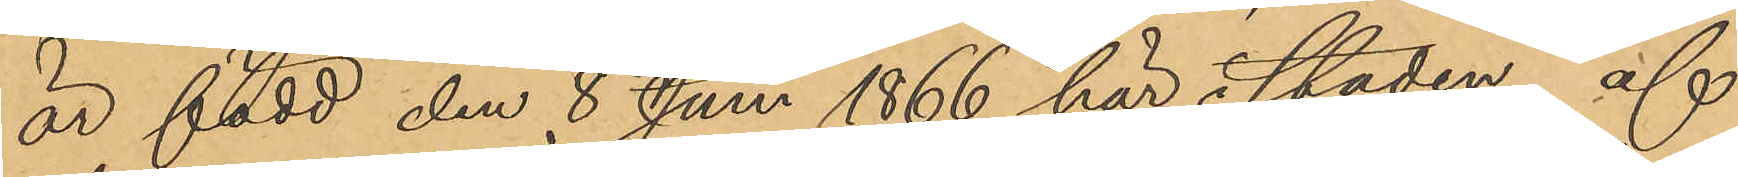är född den 8 Juni 1866 här i staden af
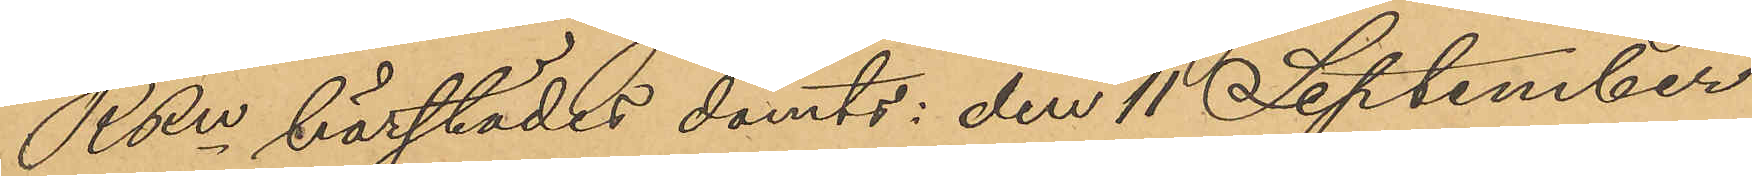RRn härstädes dömts: den 11 September
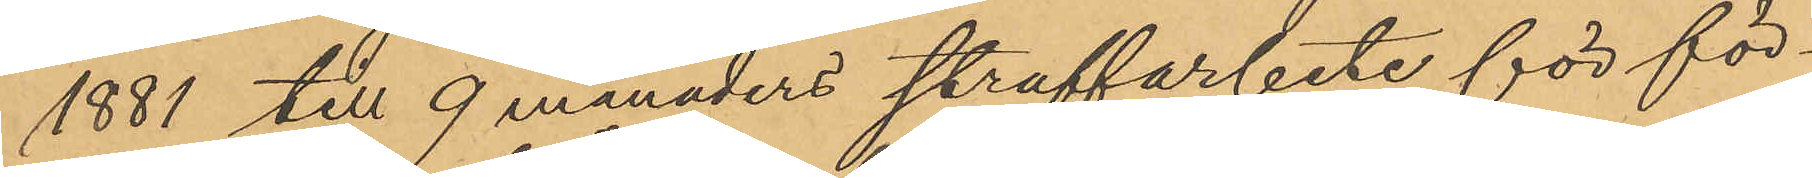1881 till 9 månaders straffarbete för för¬
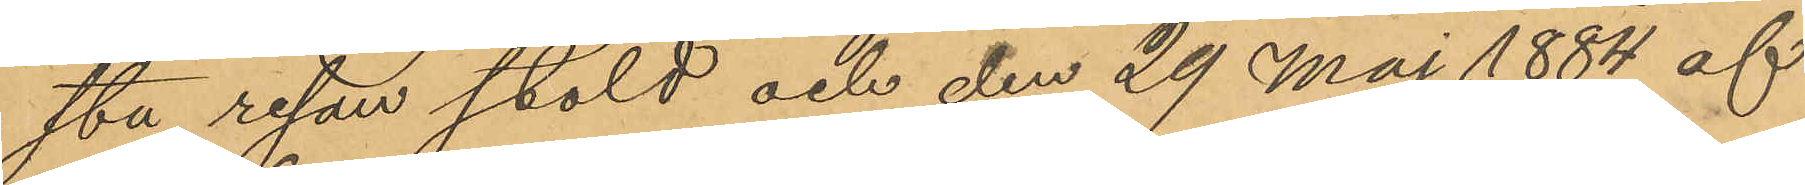sta resan stöld och den 29 Maj 1884 af
